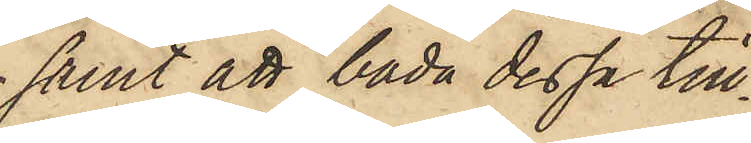samt att båda dessa till¬
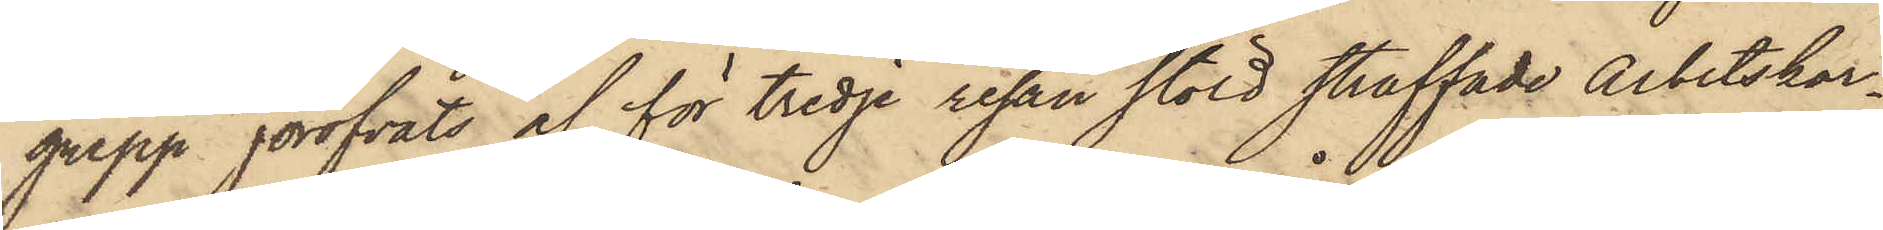grepp föröfvats af för tredje resan stöld straffade Arbetskar¬
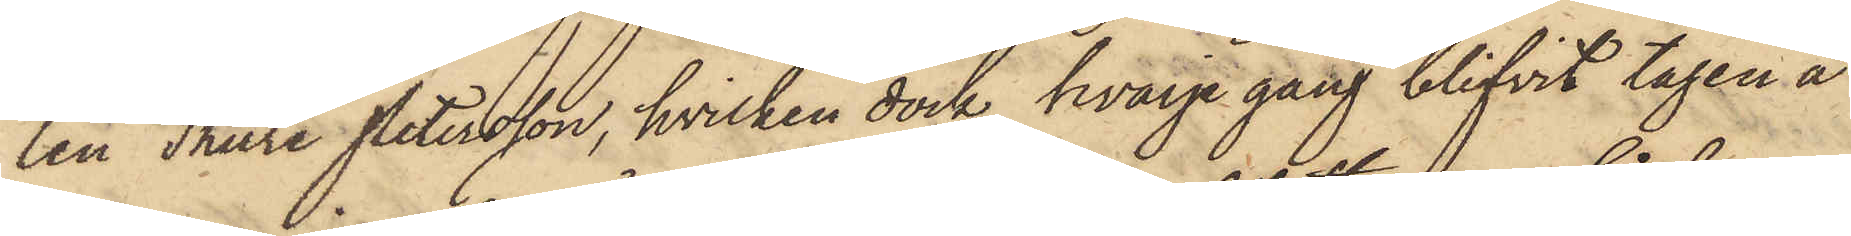len Thure Petersson, hvilken dock hvarje gång blifvit tagen å
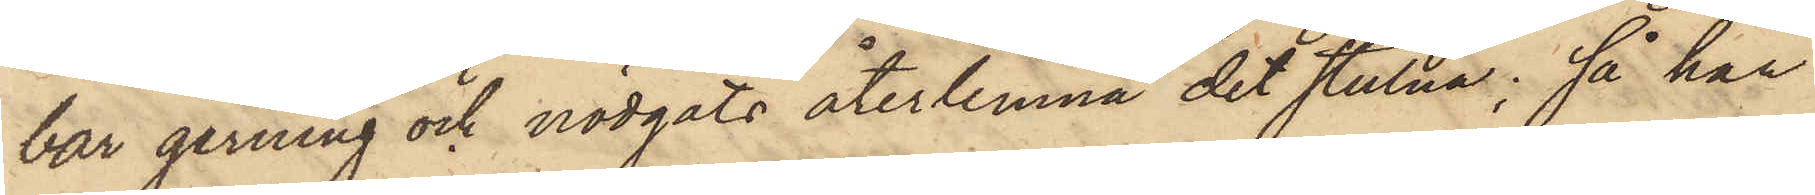bar gerning och nödgats återlemna det stulna; så har
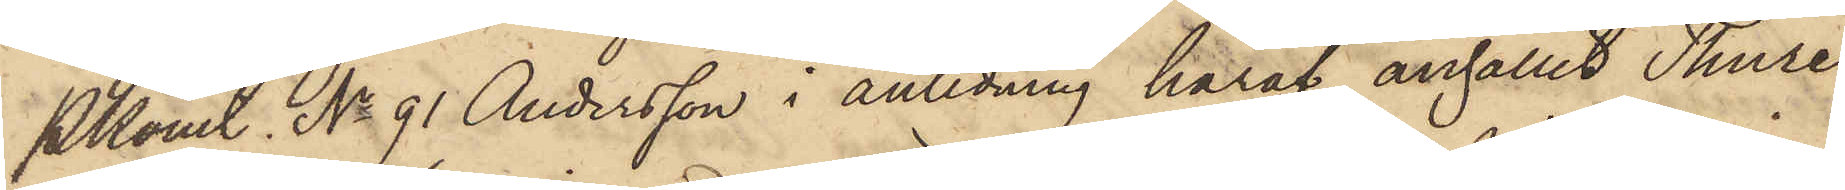Pkonst No 91 Andersson i anledning häraf anhållit Thure
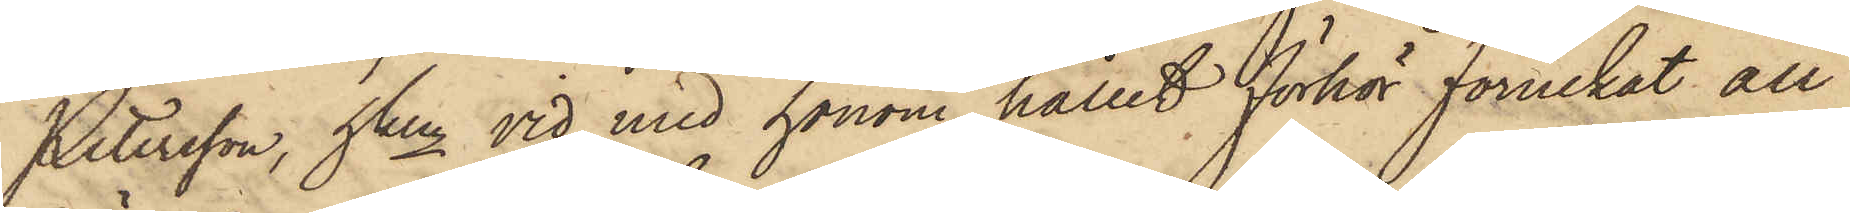Petersson, hken vid med honom hållit förhör förnekat all
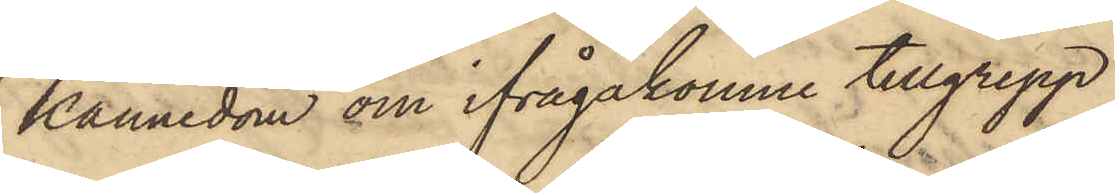kännedom om ifrågakomne tillgrepp.
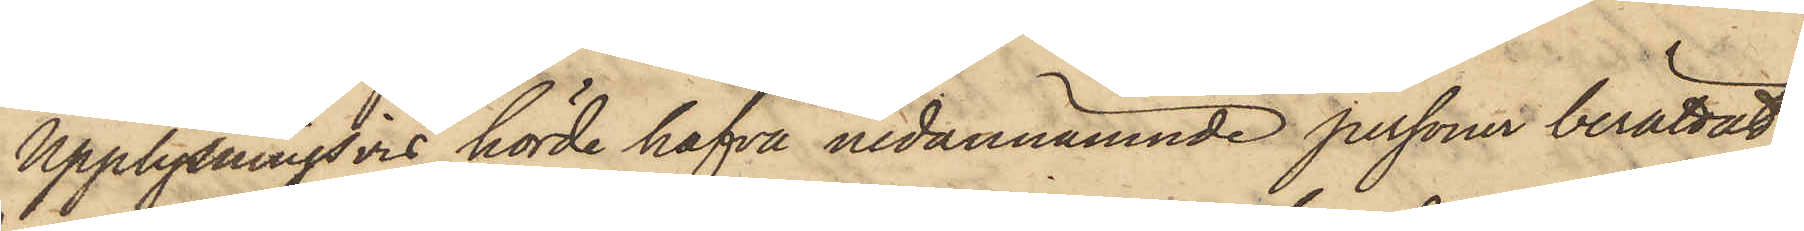Upplysningsvis hörde hafva nedannämnde personer berättat
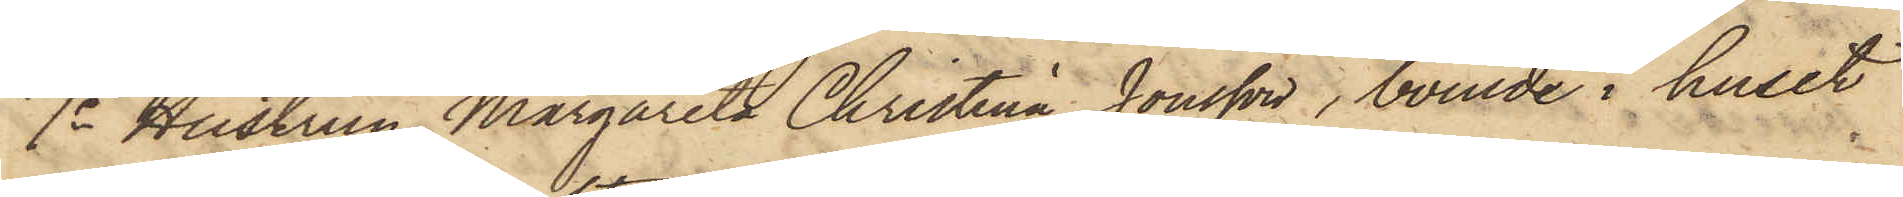1o Hustrun Margareta Christina Jonsson, boende i huset
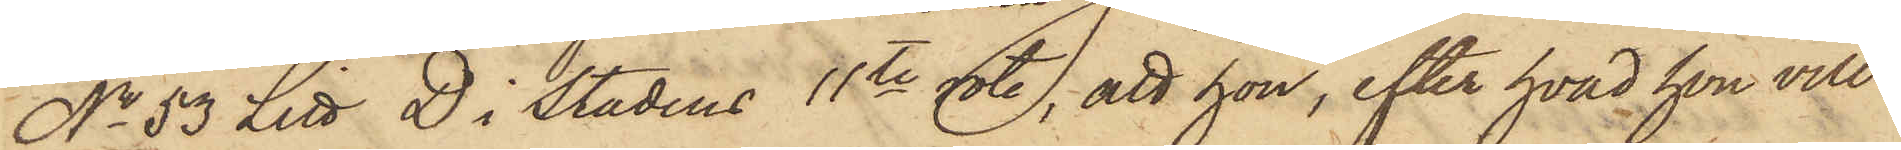No 53 Litt D i stadens 11te rote, att hon, efter hvad hon vill
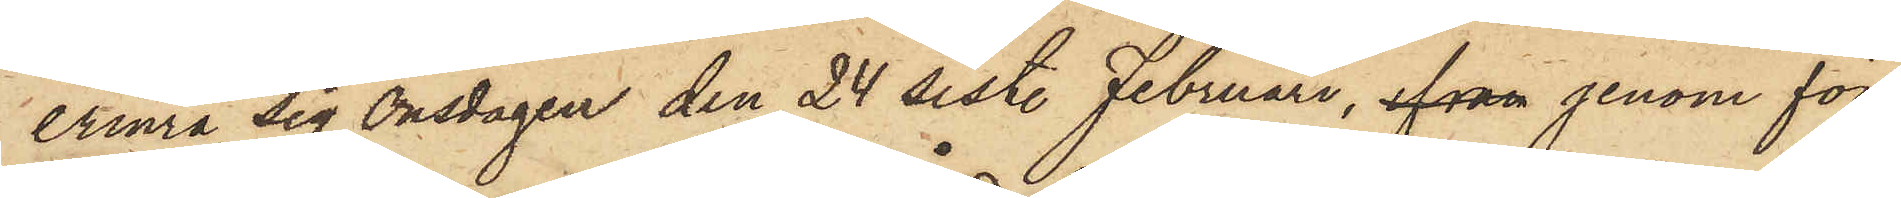erinra sig Onsdagen den 24 sist. Februari, ifran genom fön¬
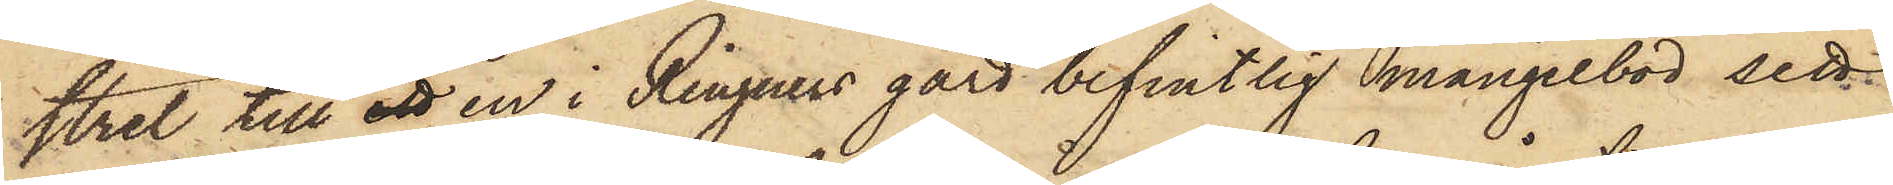stret till ett en i Ringners gård befintlig mangelbod sett
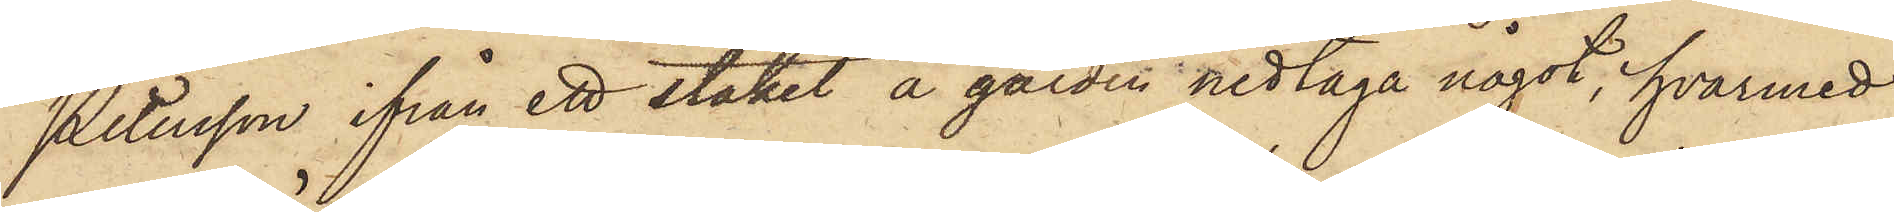Petersson ifrån ett staket å gården nedtaga något, hvarmed
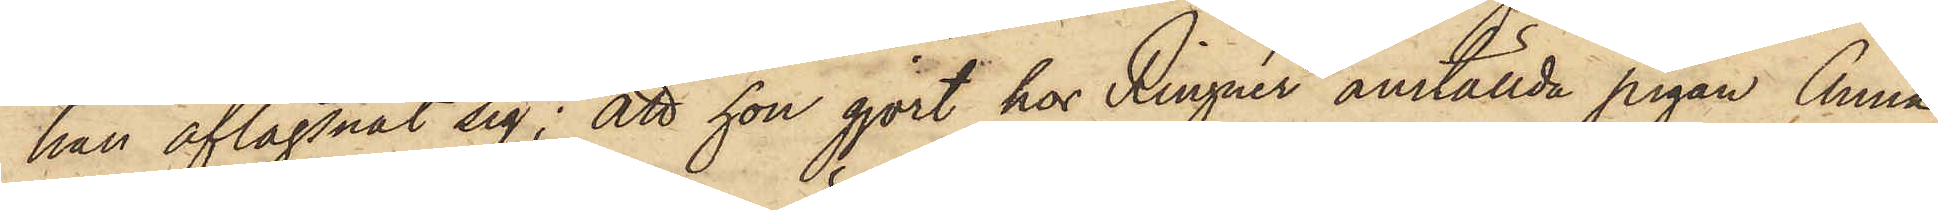han aflägsnat sig; att hon gjort hos Ringnér anställda pigan Anna
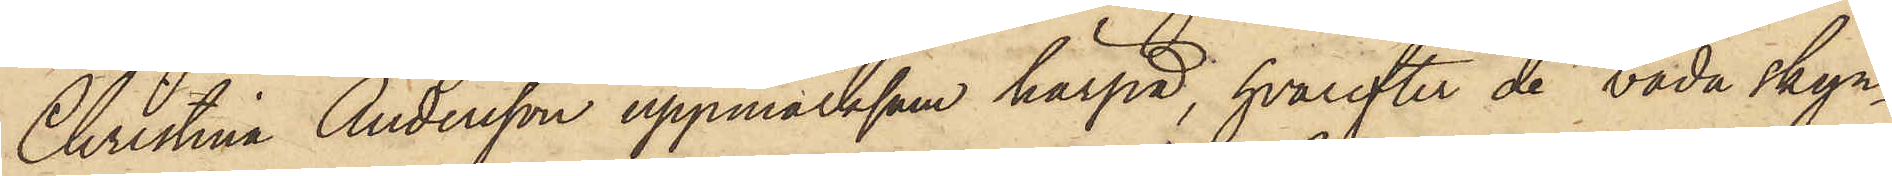Christina Andersson uppmärksam härpå, hvarefter de båda skyn¬
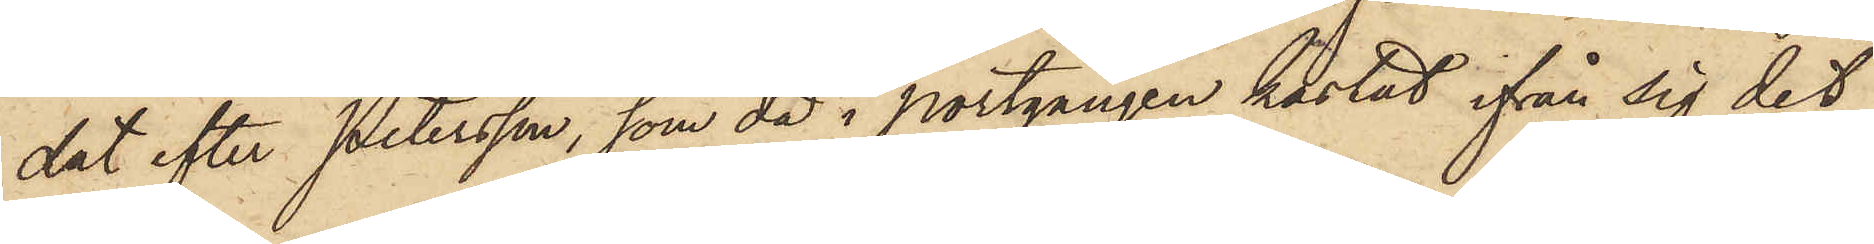dat efter Petersson, som då i portgången kastat ifån sig det
